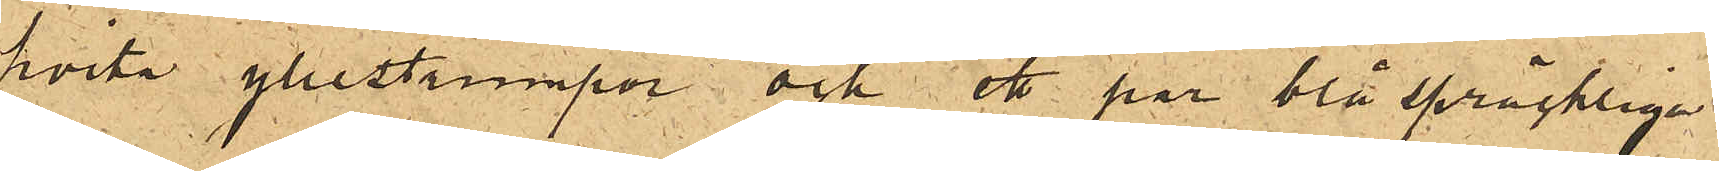hvita yllestrumpor och ett par blå spräckliga
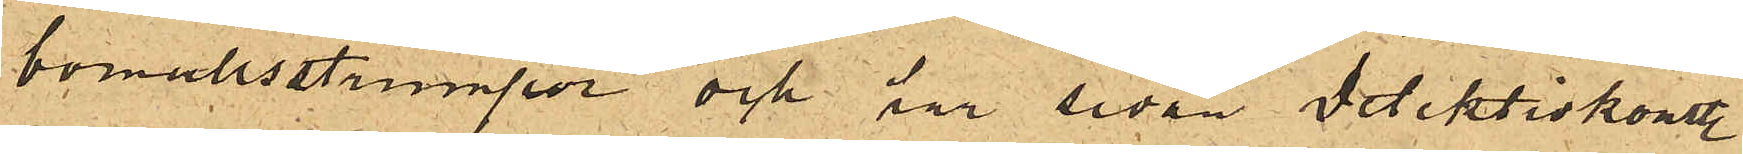bomullsstrumpor och har sedan Detektivkonstl
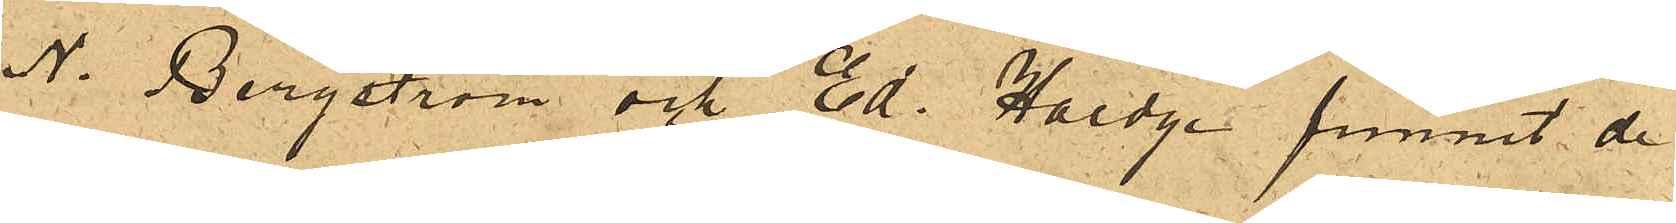N. Bergström och Ed. Haedge funnit de
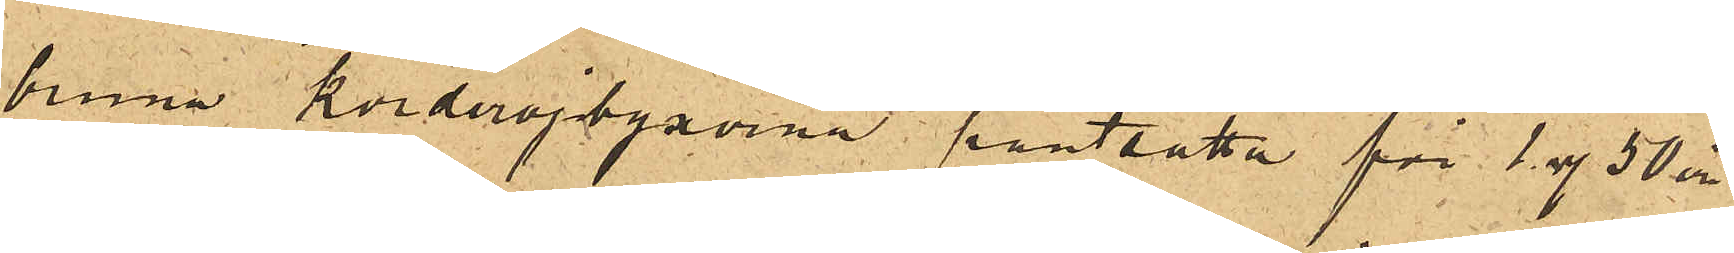bruna korderojbyxorna pantsatta för 1 rdr 50 öre
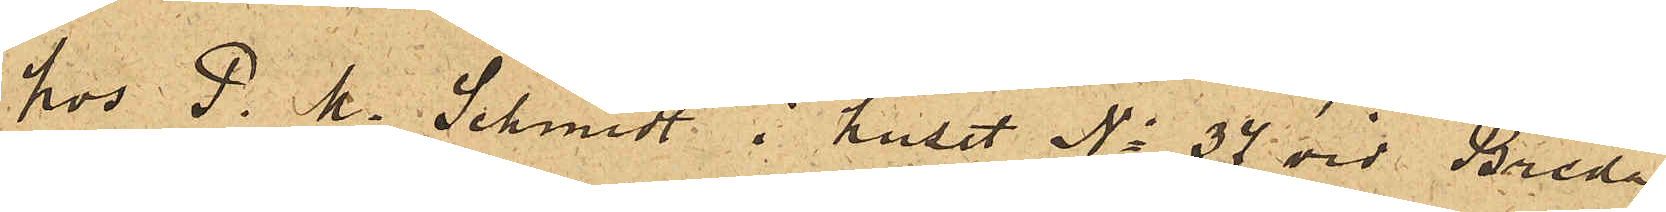hos P. M. Schmidt i huset No 37 vid Breda
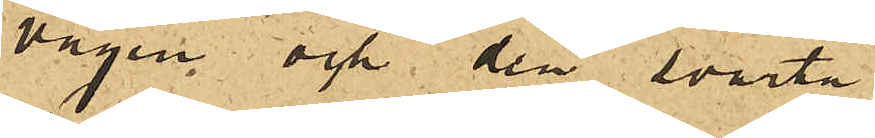vägen och den svarta
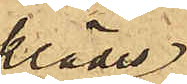klädes¬
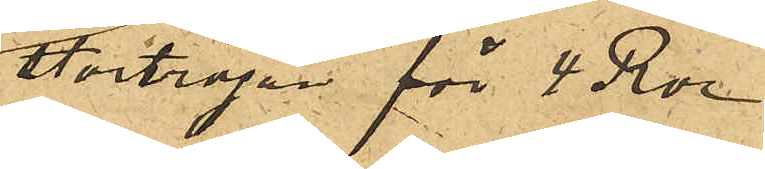stortröjan för 4 Rdr
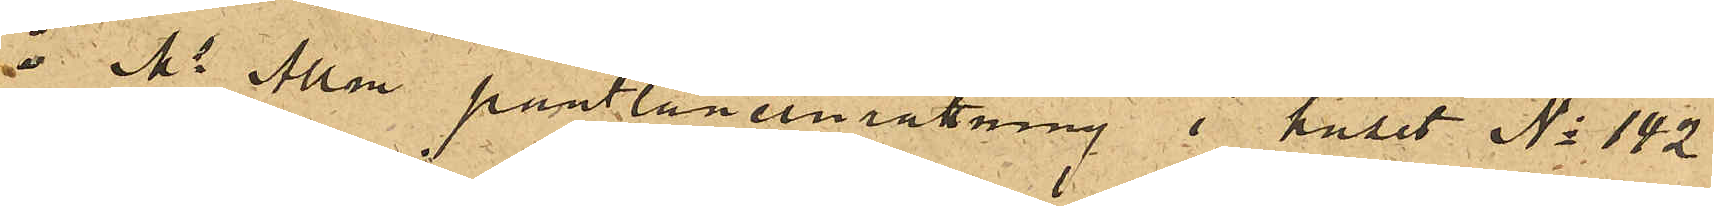i Ms Allm. pantlåneinrättning i huset No 142
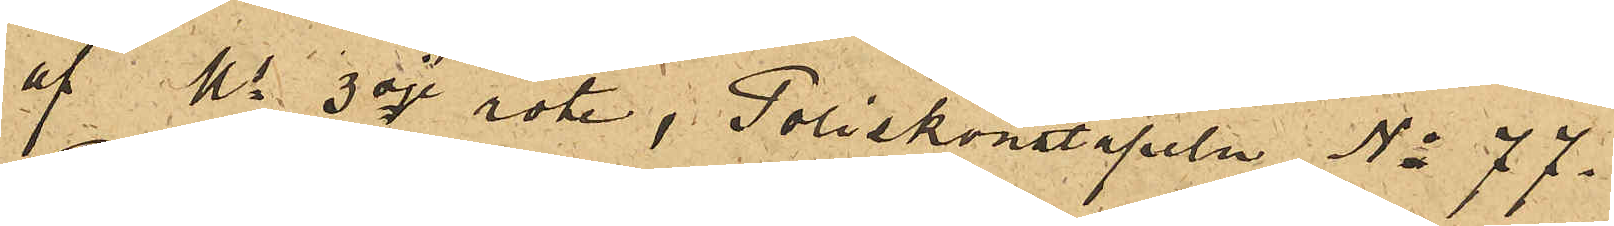af Ms 3dje rote, Poliskonstapeln No 77.
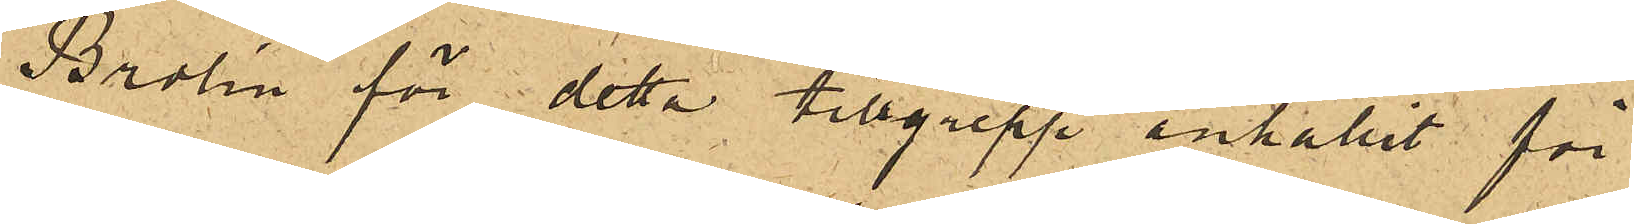Brolin för detta tillgrepp anhållit för
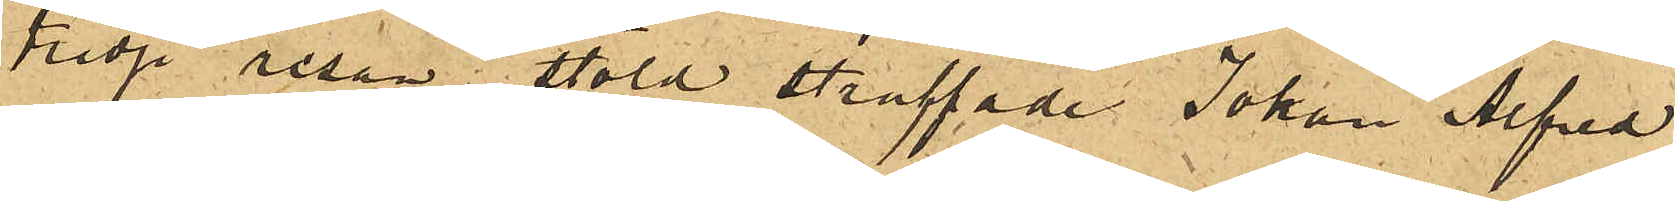tredje resan stöld straffade Johan Alfred
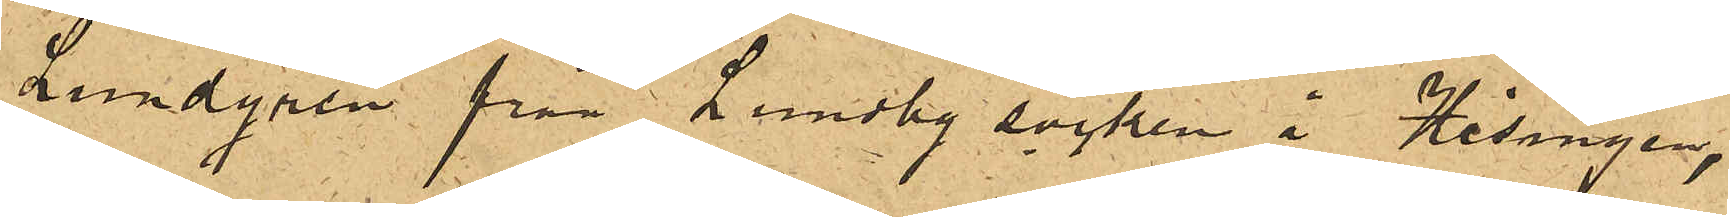Lundgren från Lundby socken å Hisingen,
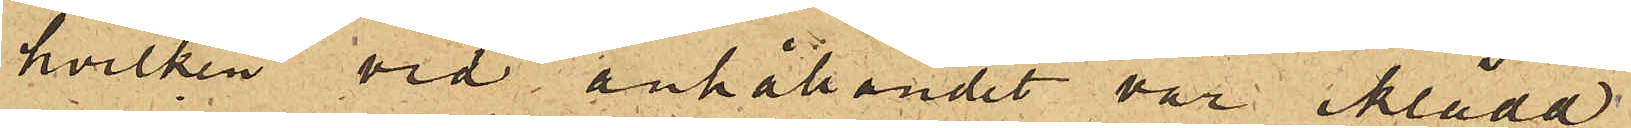hvilken vid anhållandet var iklädd
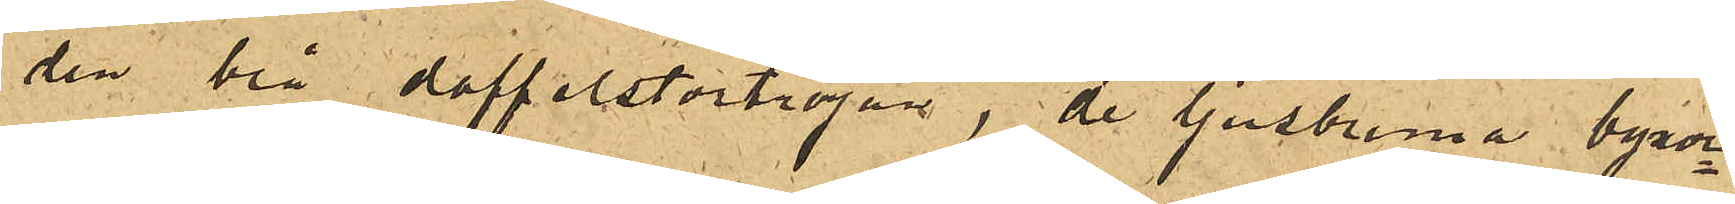den brå doffelstortröjan, de ljusbruna byxor¬
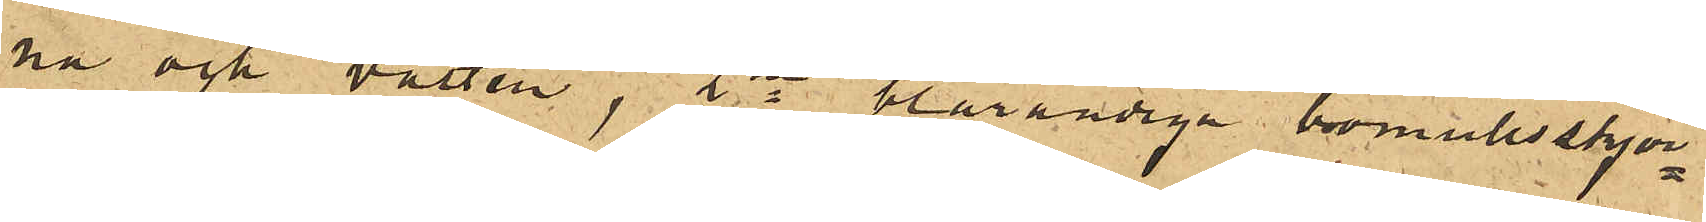na och västen, 2ne blårandige bomullsskjor¬
